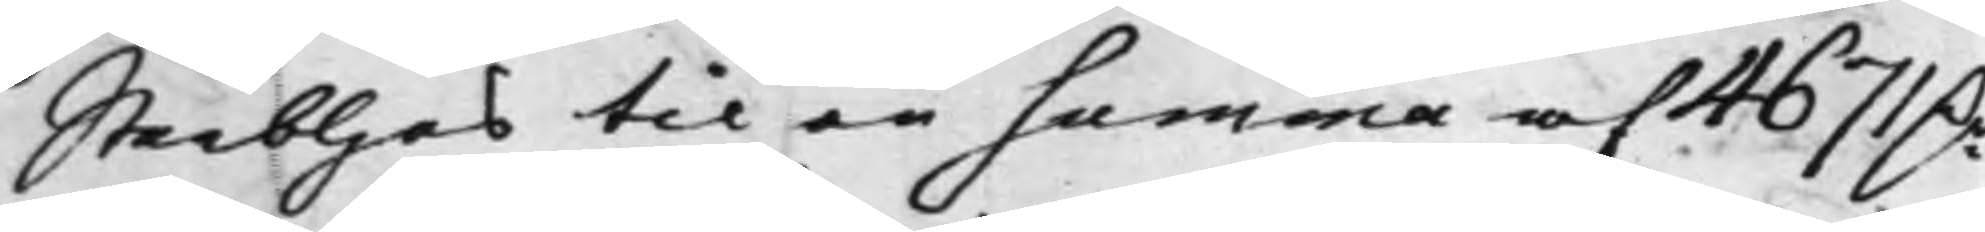Sterbhus til en summa af 4671 Dr
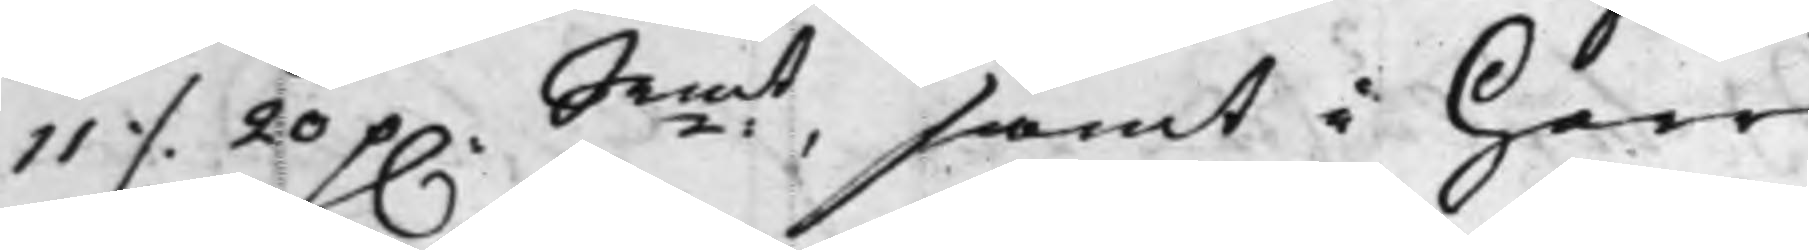11 ./. 20 p. Srmt, samt i Herr
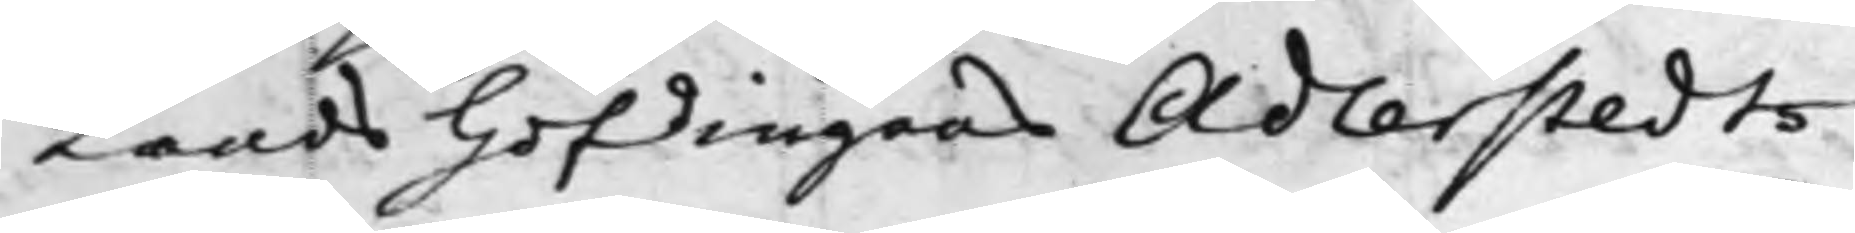Landshöfdingens Adlerstedts
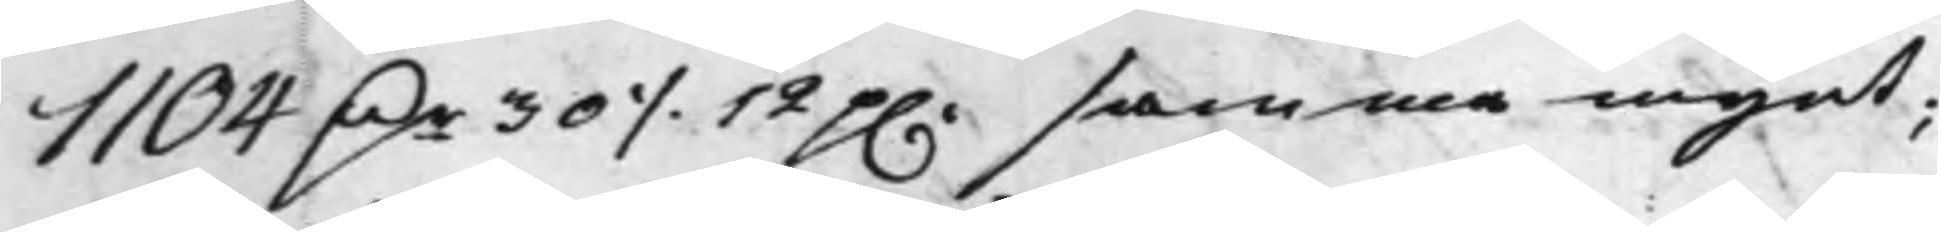1104 Dr 30 ./. 12 p. samma mynt;
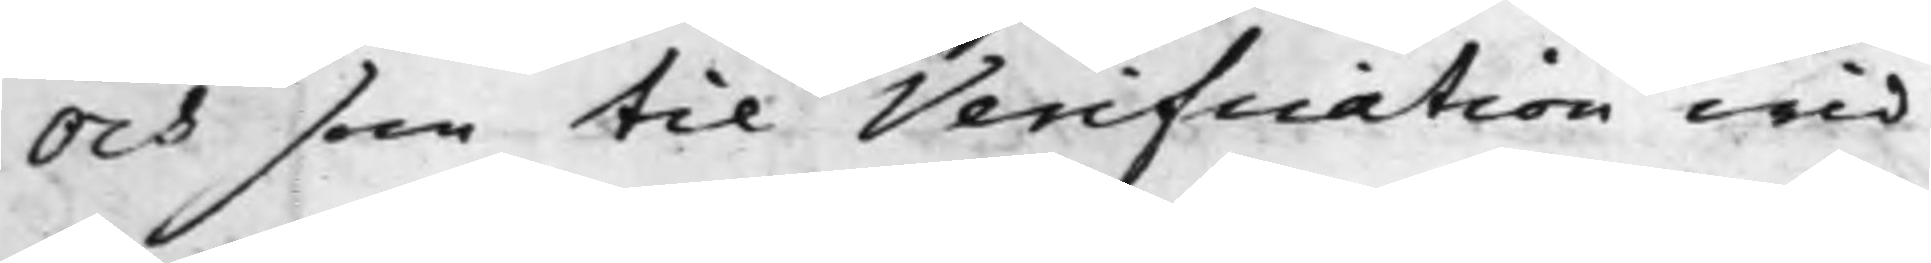Och som til Verification wid
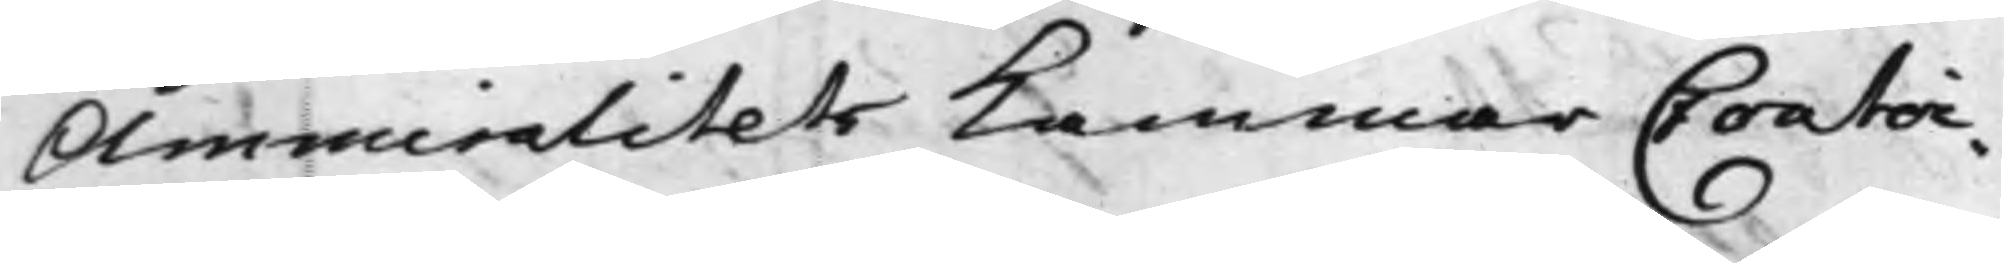Ammiralitets Kammar Contoi¬
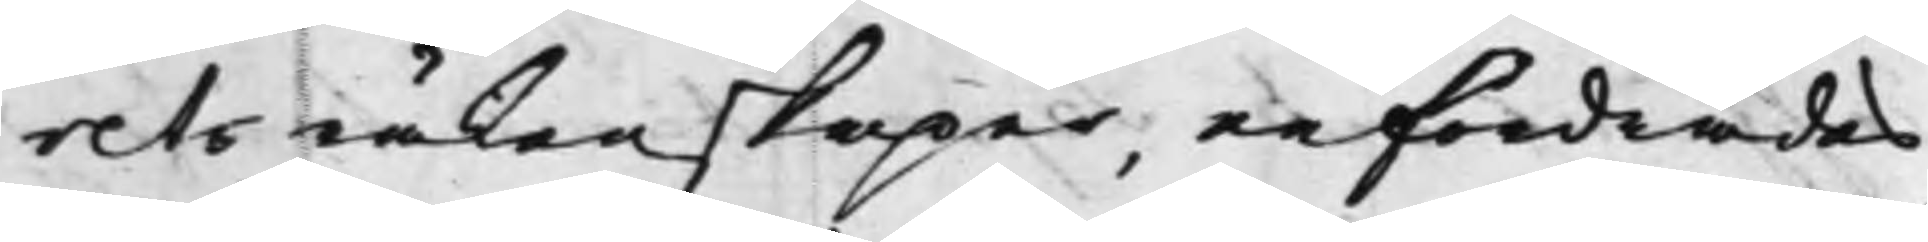rets räkenskaper, erfordrades
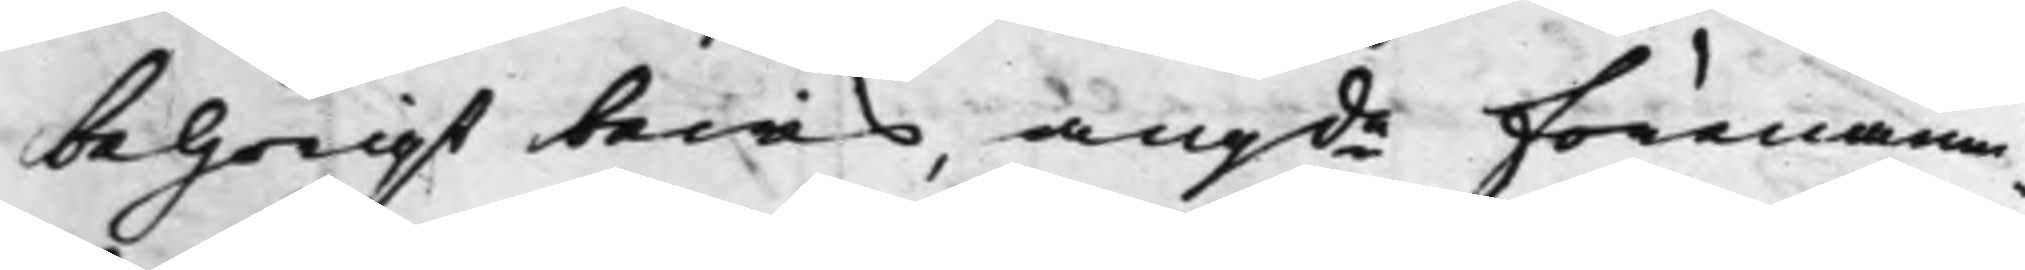behörigt bewis, angde förenämn¬
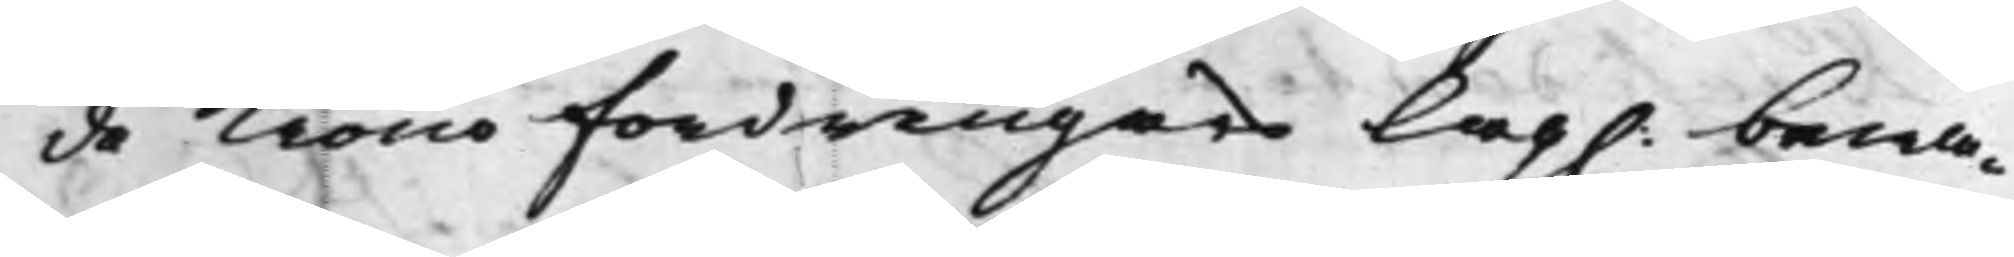de Kronofordringars Lag. bewa¬
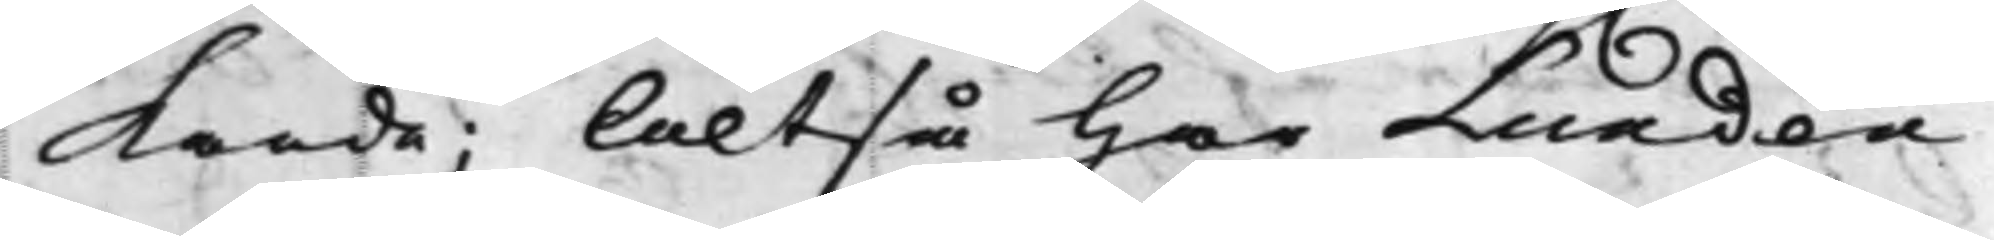kande; Altså har Lundén
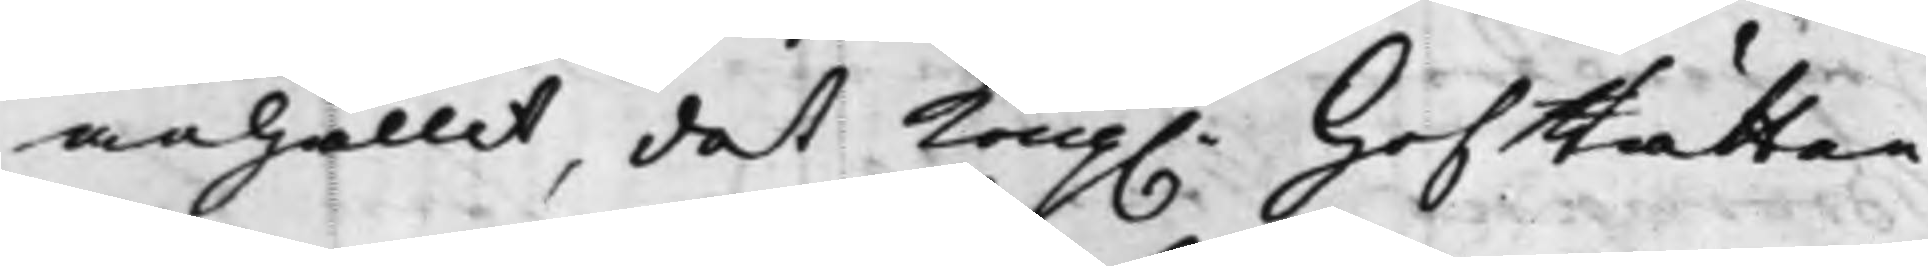anhållit, det Kong. HofRätten
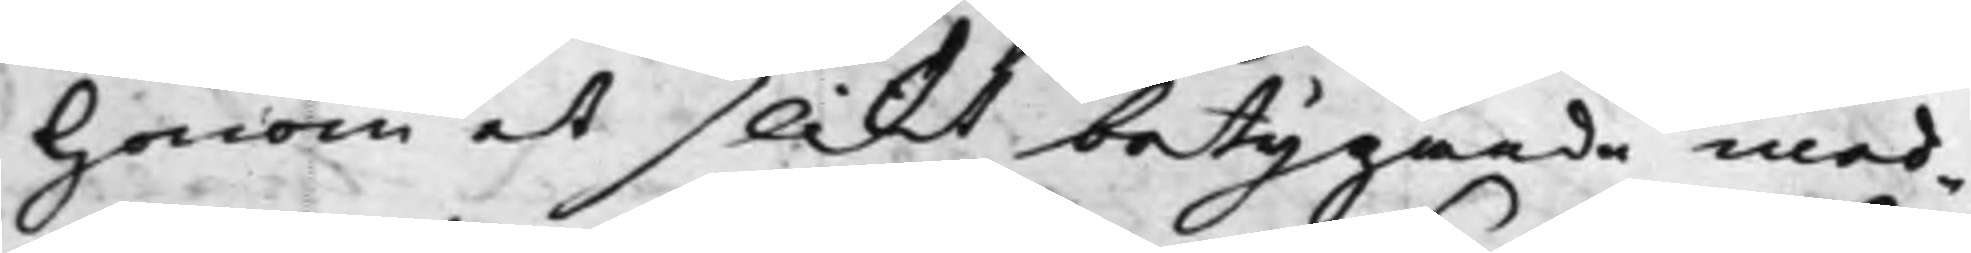honom et slikt betygande med¬
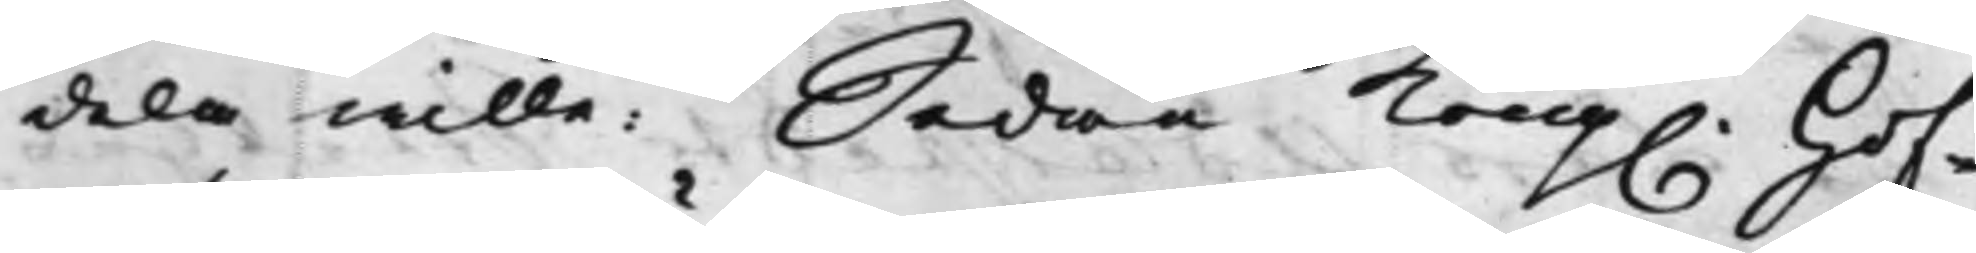dela wille: Sedan. Kong. Hof¬
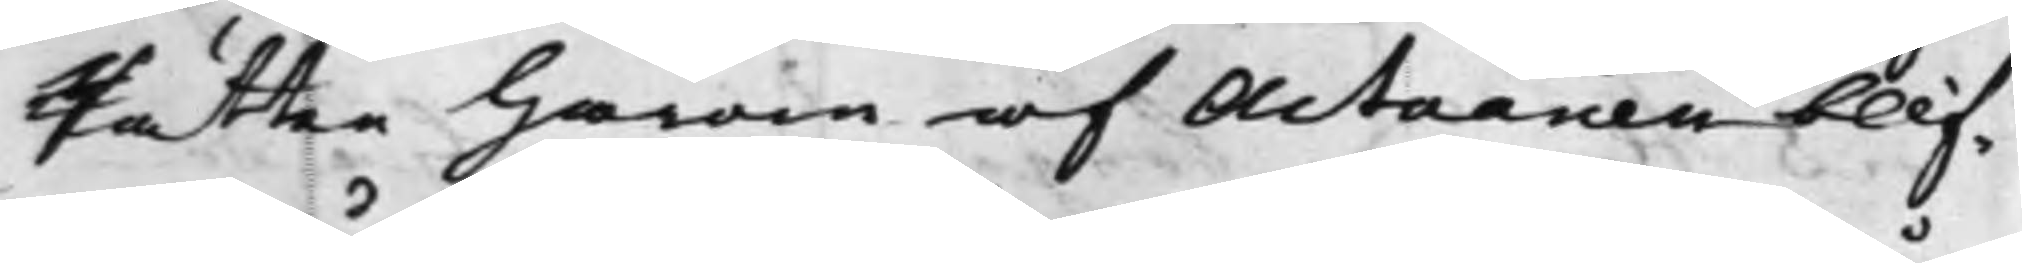Rätten härom af Actuarien blif¬
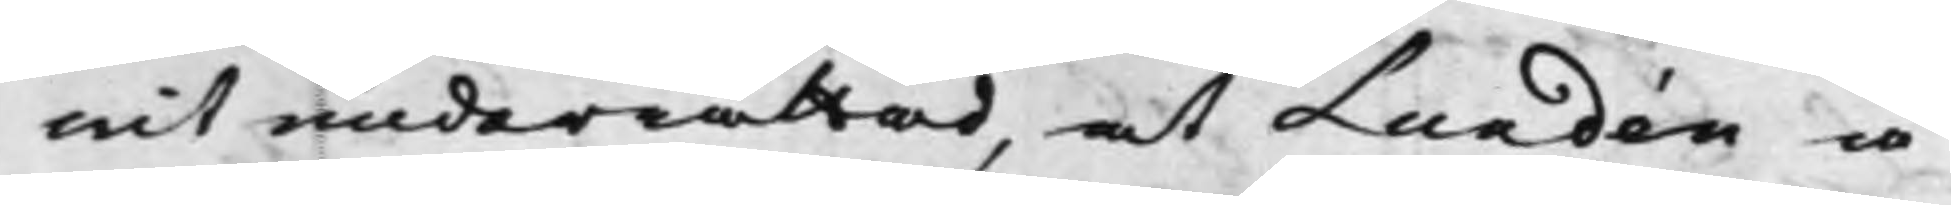wit underrättad, at Lundén å
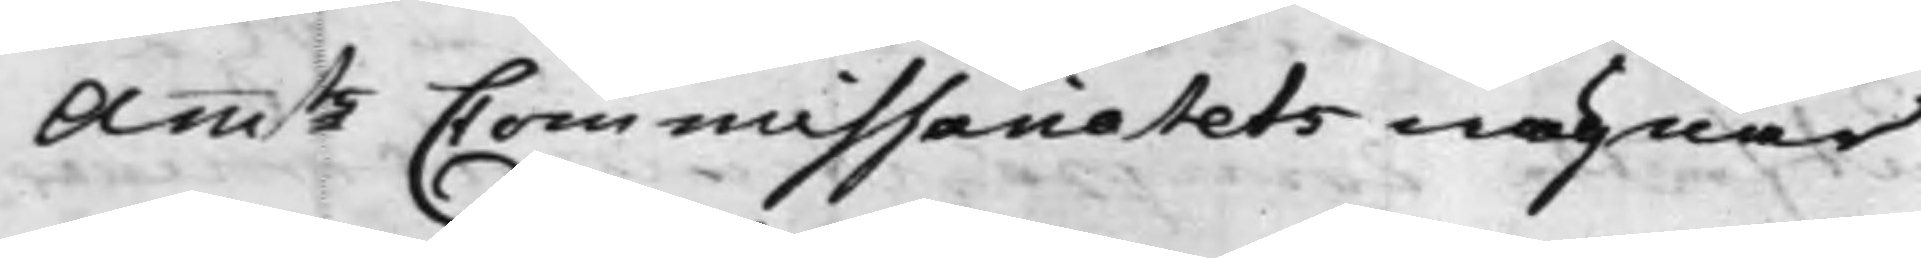Amtz Commissariatets wägnar
